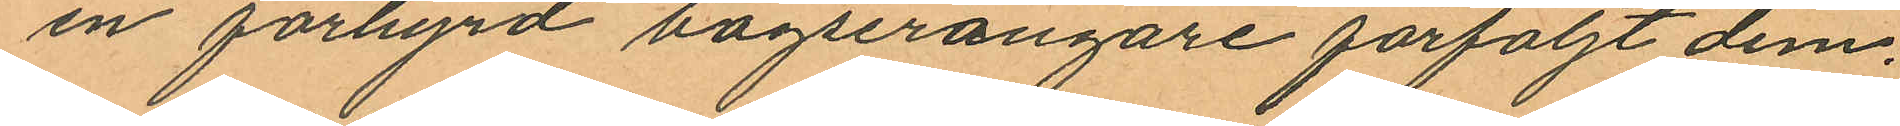en förhyrd bogserångare förföljt dem.
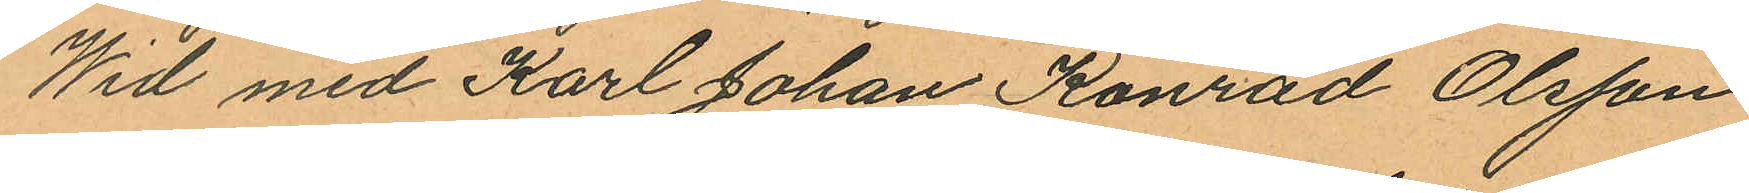Wid med Karl Johan Konrad Olsson
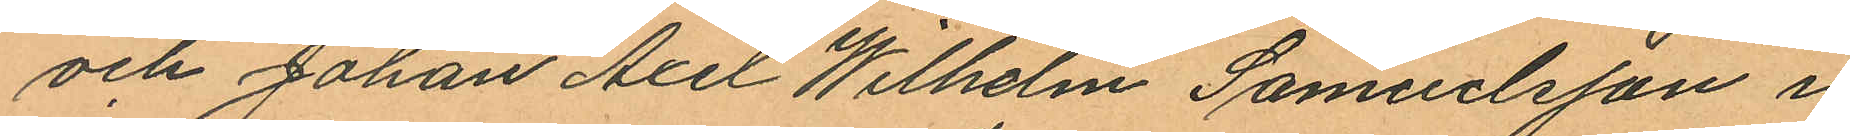och Johan Axel Wilhelm Samuelsson i
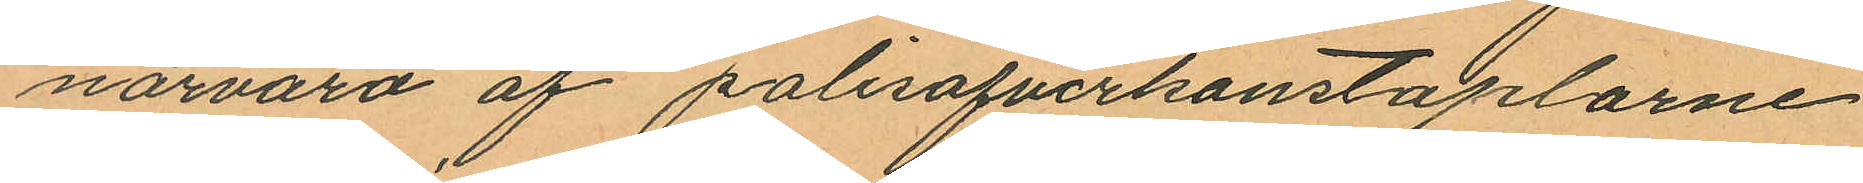närvaro af polisöfverkonstaplarne
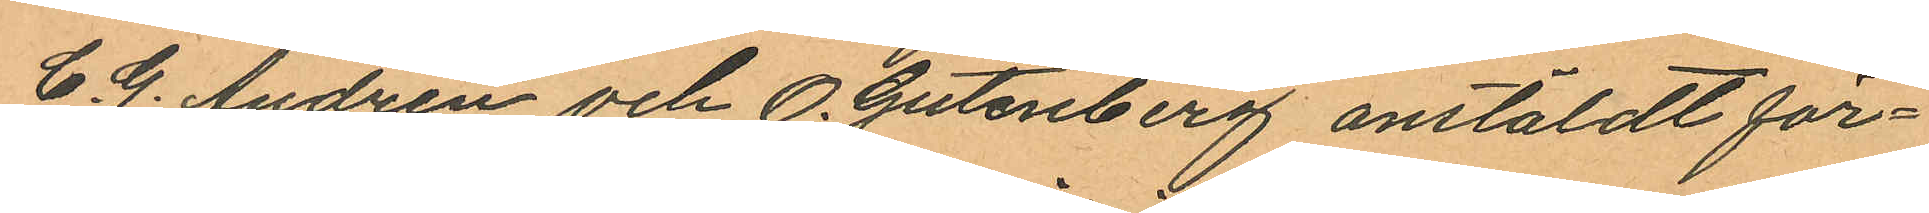C. G. Andrén och O. Gutenberg anstäldt för¬
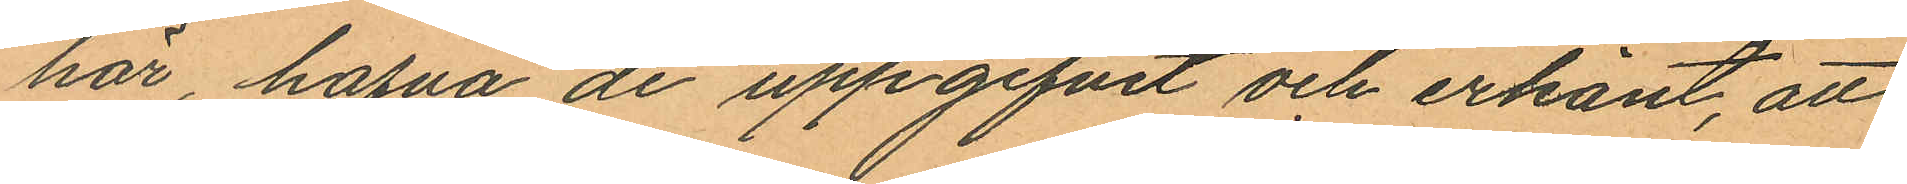hör, hafva de uppgifvit och erkänt, att
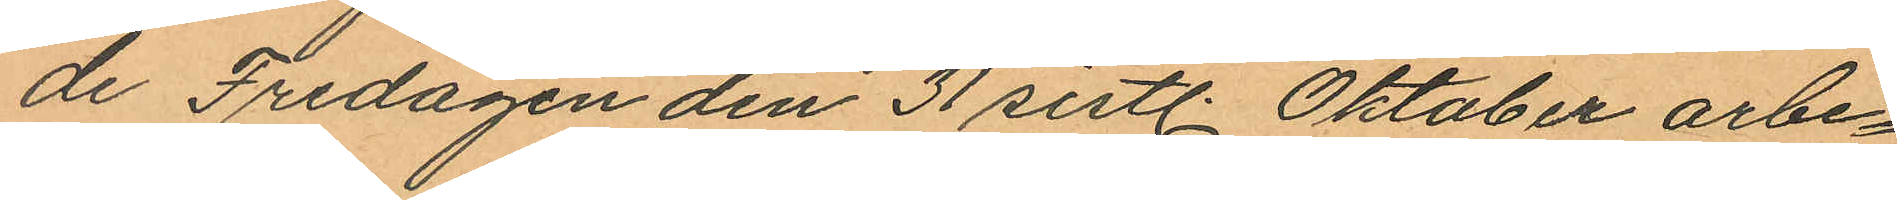de Fredagen den 31 sistl. Oktober arbe¬
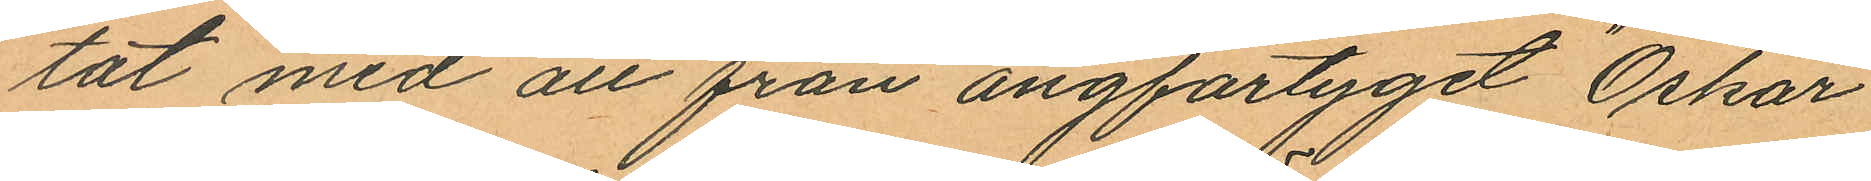tat med att från ångfartyget "Oskar
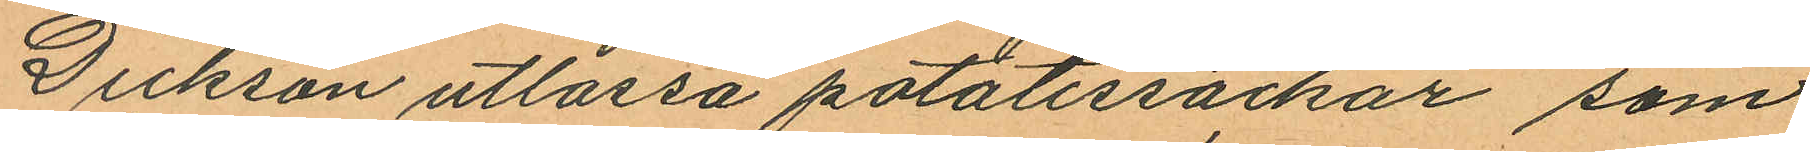Dickson utlassa potatissäckar som
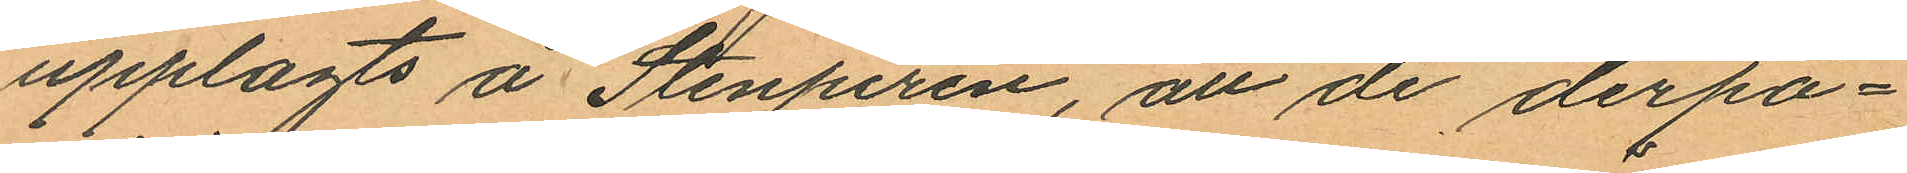upplagts å Stenpiren, att de derpå¬
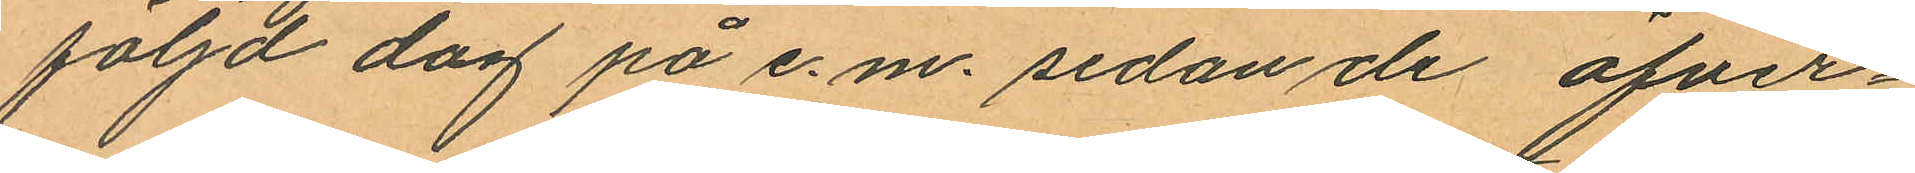följd dag på e.m. sedan de öfver¬
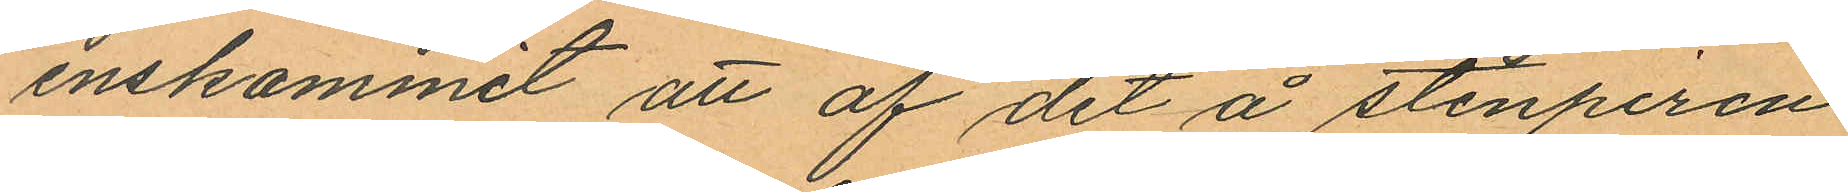enskommit att af det å stenpiren
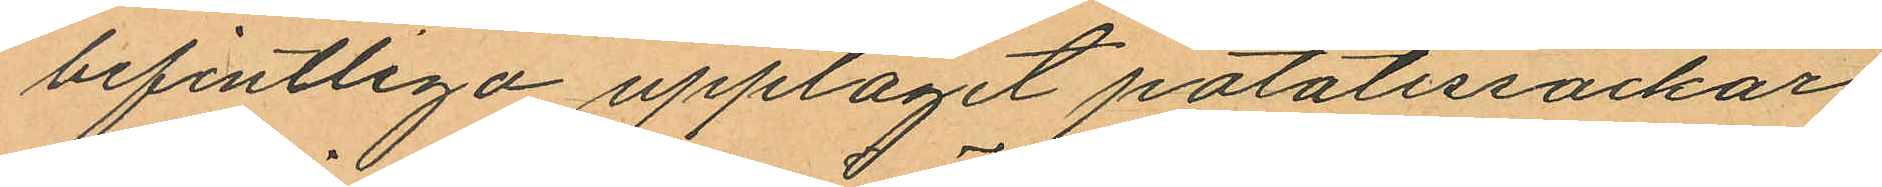befintliga upplaget potatissäckar,
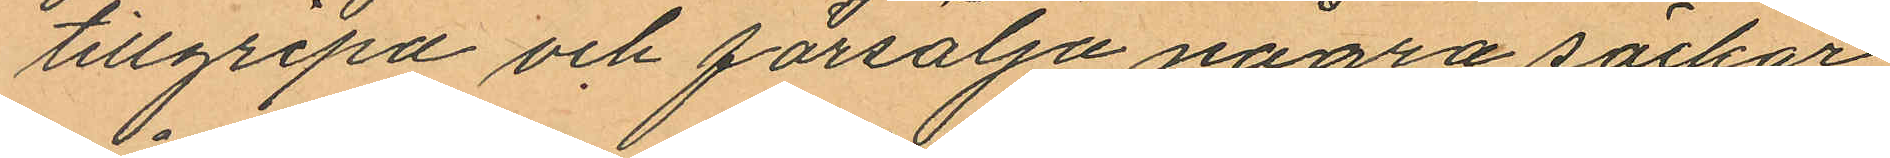tillgripa och försälja några säckar,
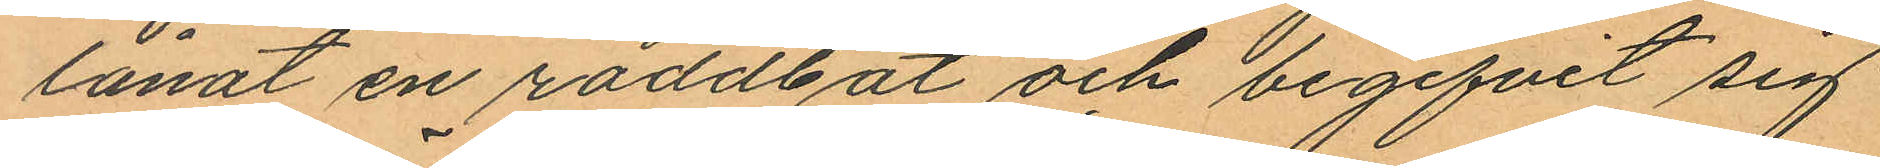lånat en roddbåt och begifvit sig
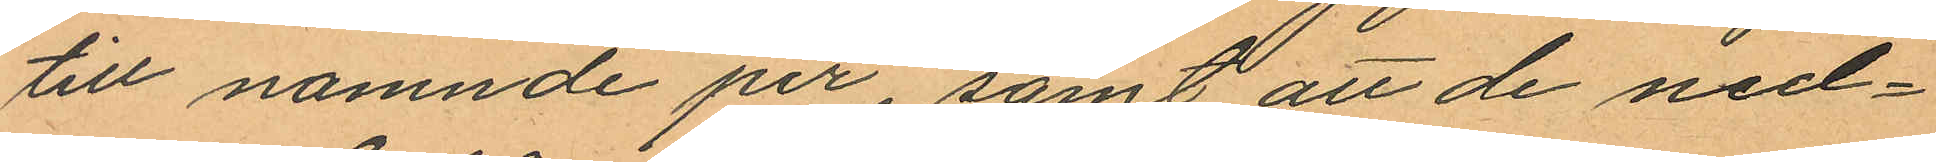till nämnde pir, samt att de ned¬
